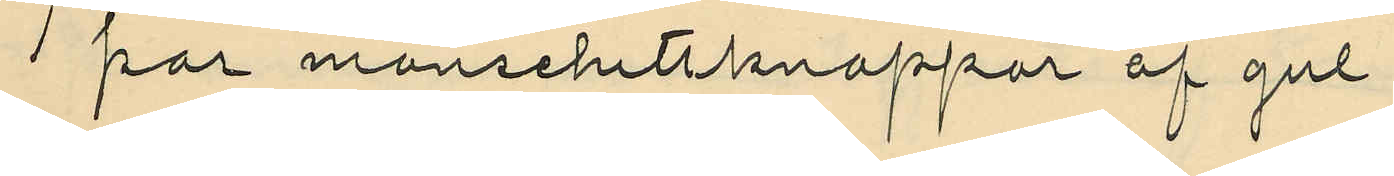1 par manschetlknappar af gul
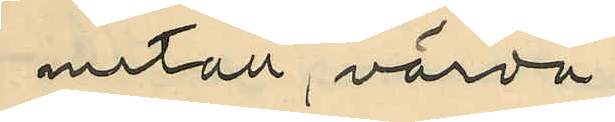metall, värda
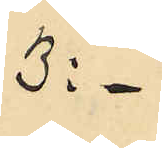3: -
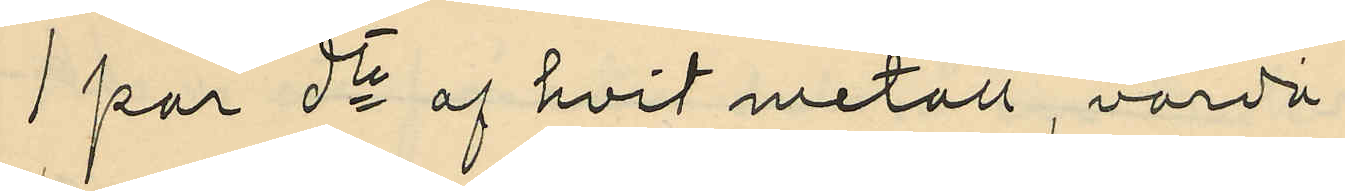1 par do af hvit metall, värda
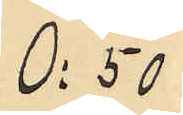0:50
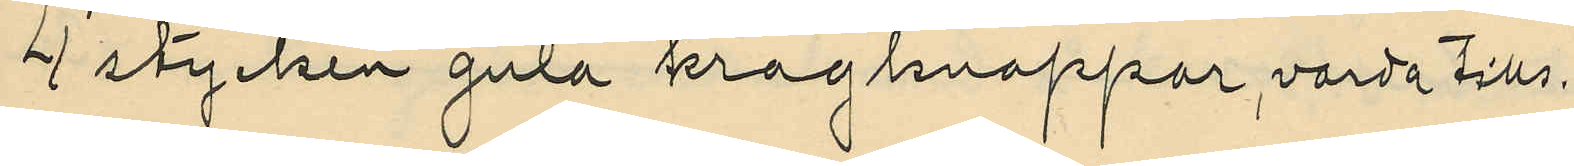4 stycken gula kragknappar, värda tills.
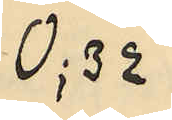0;32
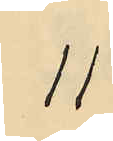11
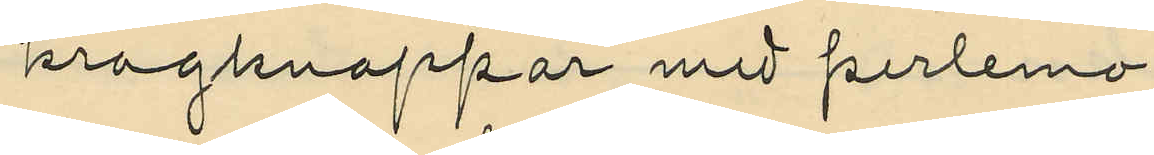kragknappar med perlemo¬
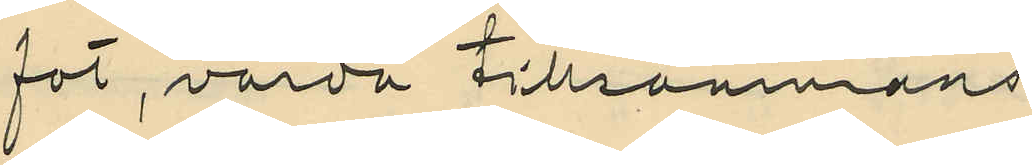fot, värda tillsammans
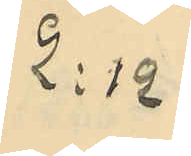2:12
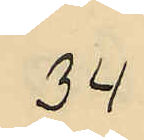34
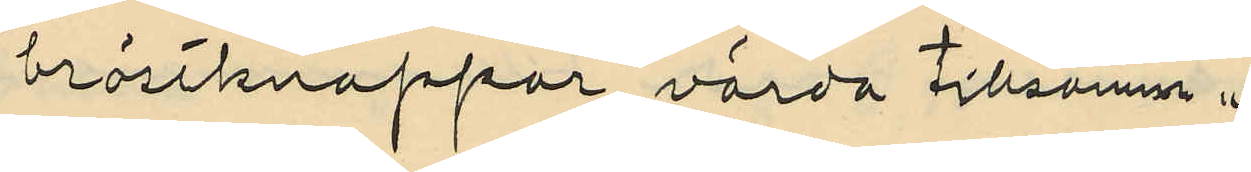bröstknappar värda tillsammans
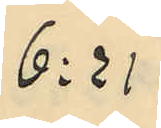6:21
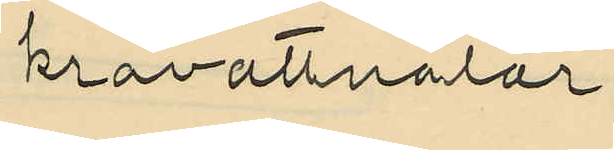kravattnålar
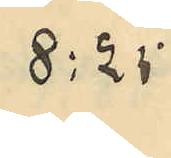8:25
